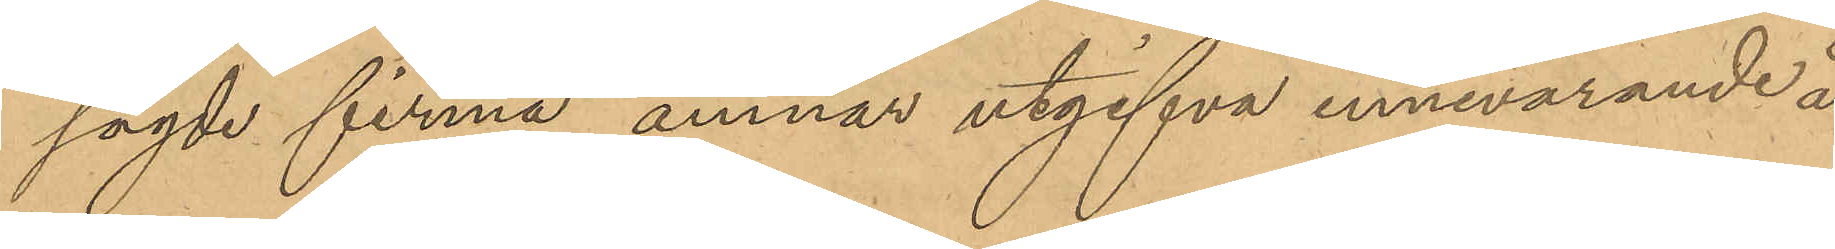sagde firma ämnar utgifva innevarande år
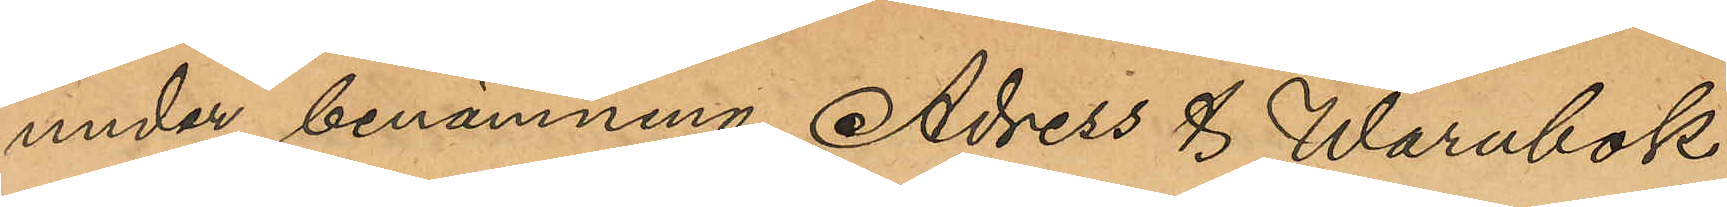under benämning Adress & Warubok
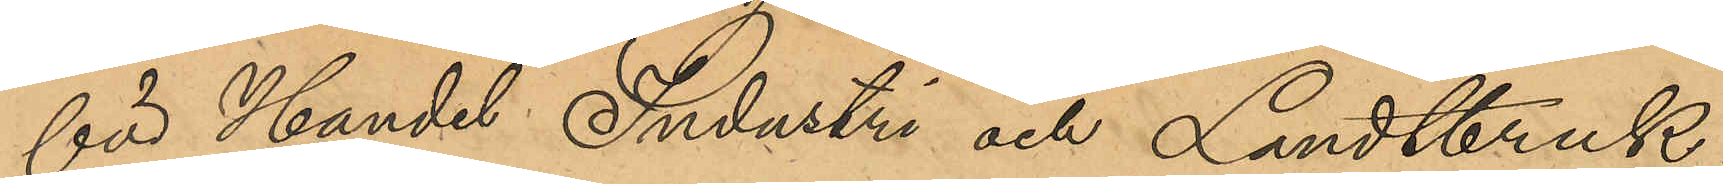för Handel Industri och Landtbruk;
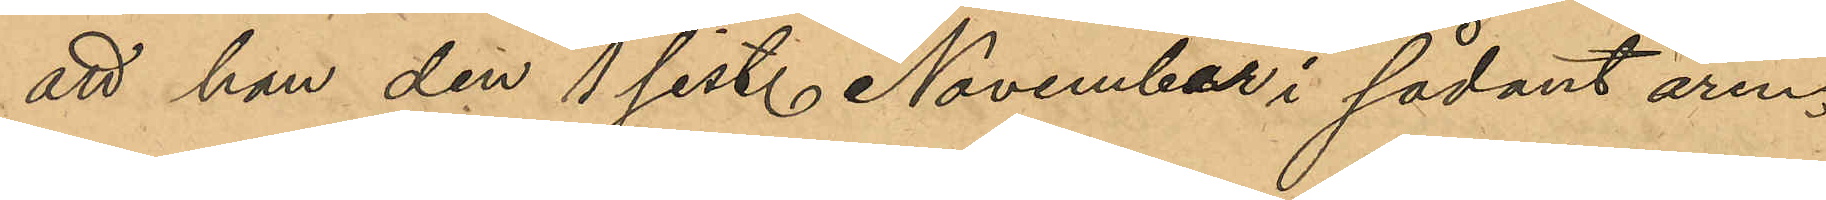att han den 1 sist. November i sådant ären¬
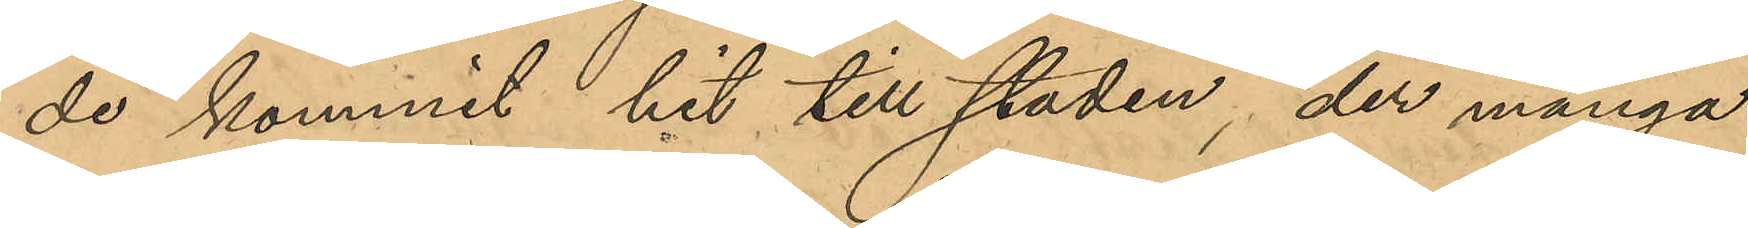de kommit hit till staden, der många
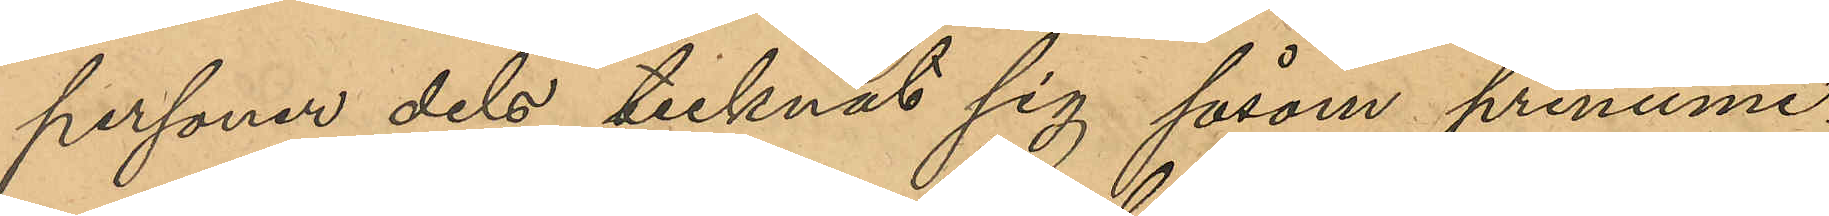personer dels tecknat sig såsom prenume¬
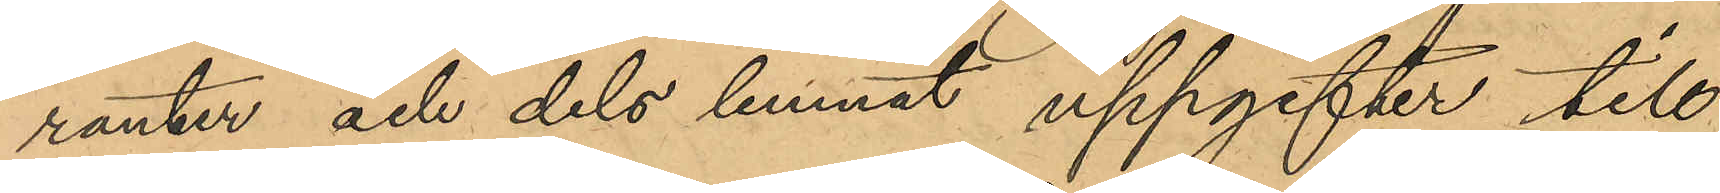ranter och dels lemnat uppgifter till
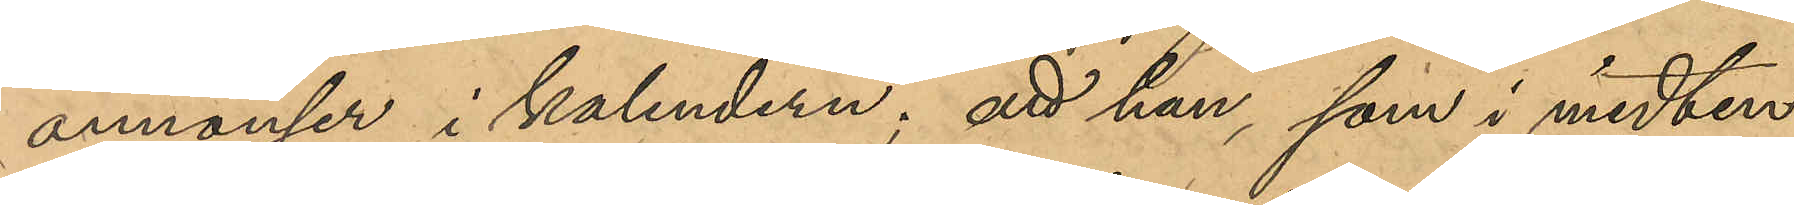annonser i kalendern; att han som i midten
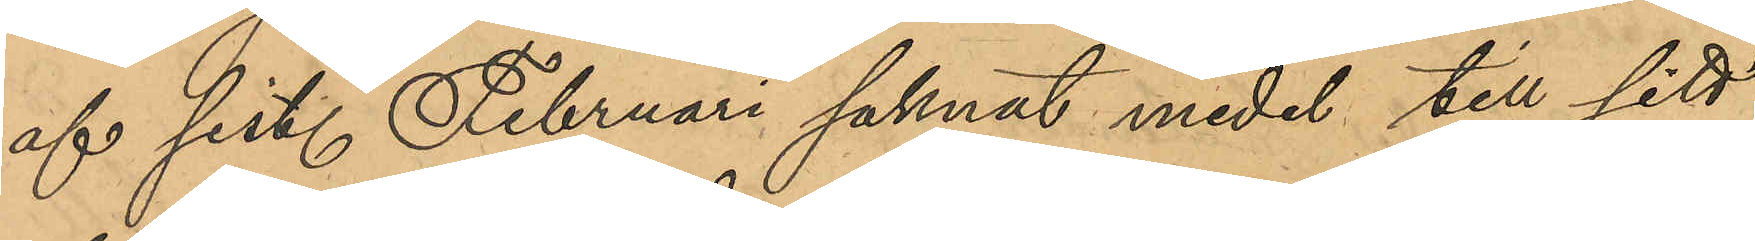af sist. Februari saknat medel till sitt
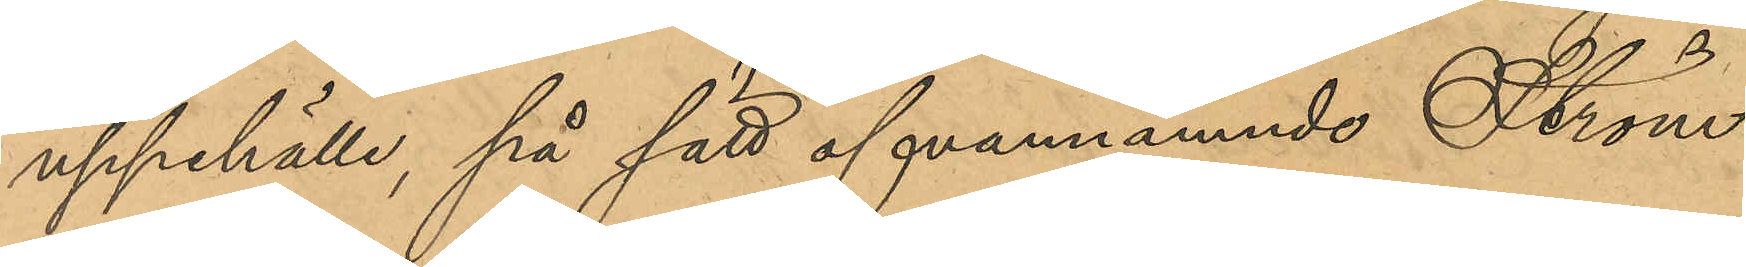uppehälle, på sätt ofvannämnde Ström,
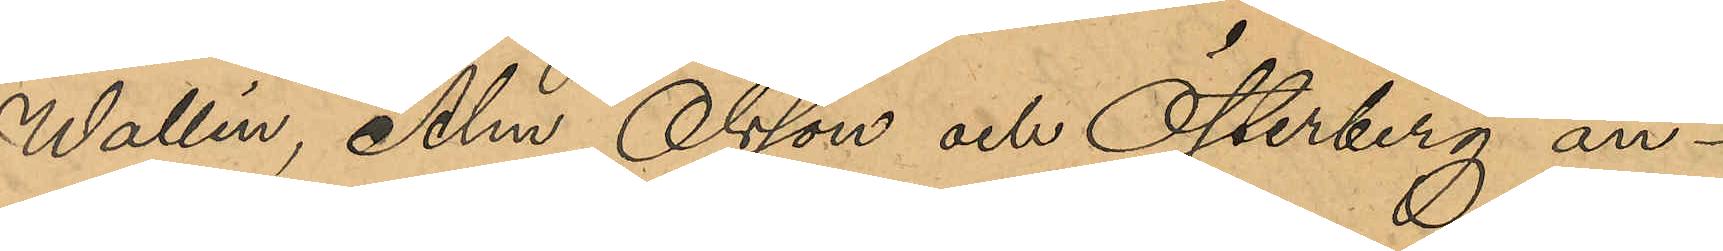Wallin, Alm, Olsson och Österberg an¬
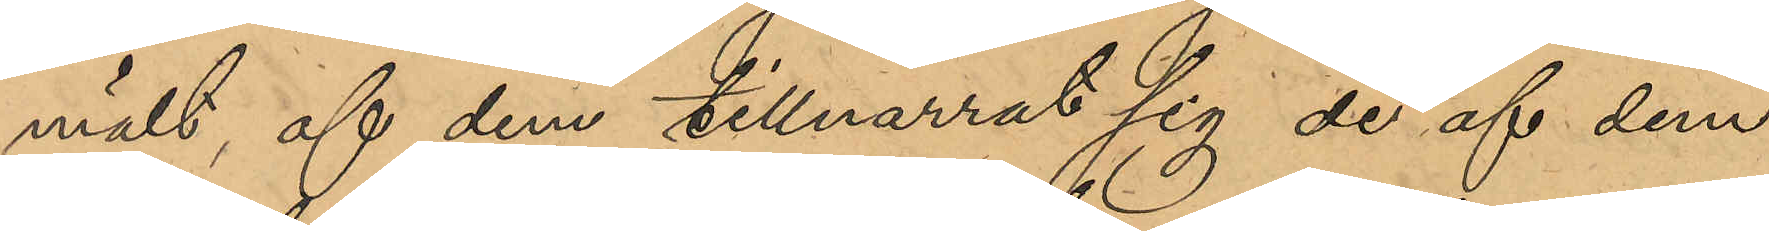mält af dem tillnarrat sig de af dem
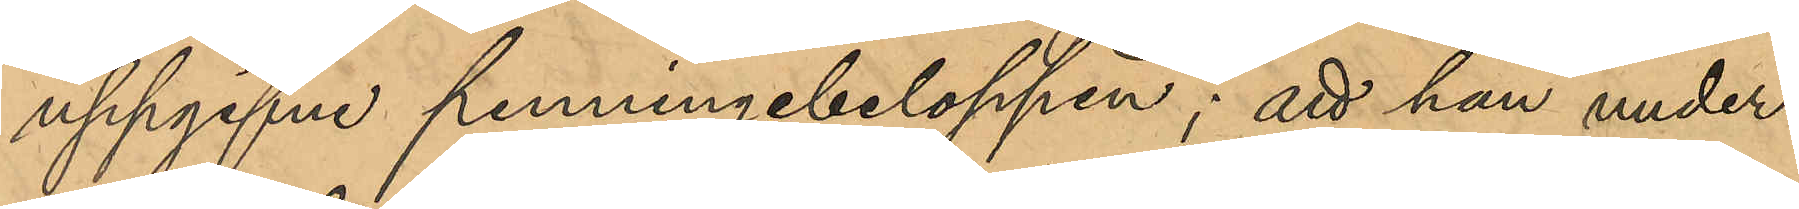uppgifne penningebeloppen; att han under¬
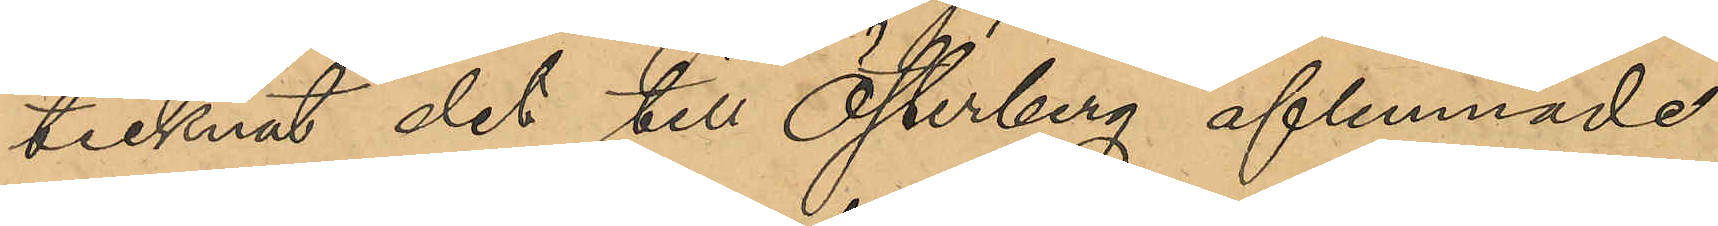tecknat det till Österberg aflemnade
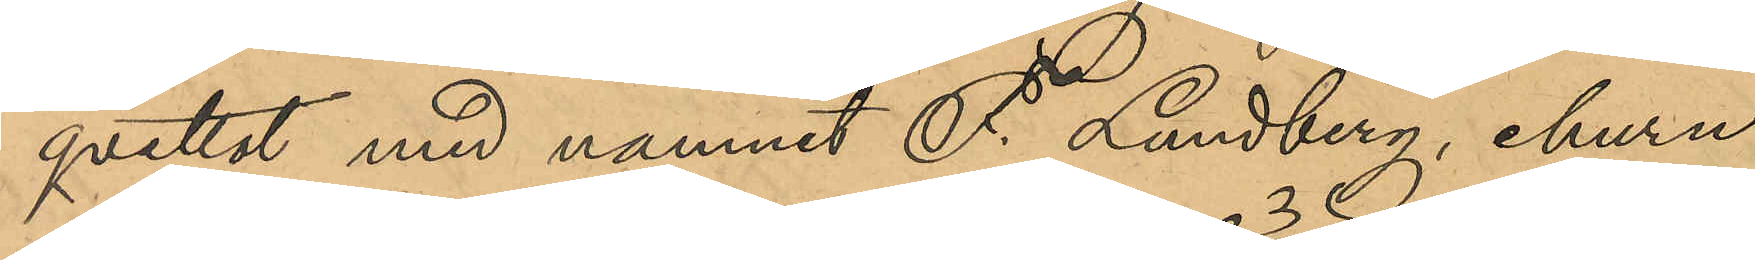qvittot med namnet F. Lundberg, ehuru
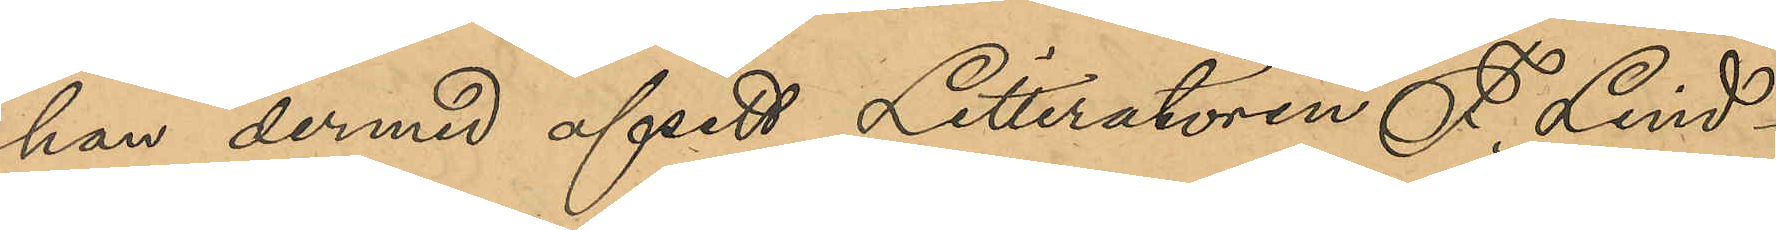han dermed afsett Litteratören F. Lind¬
